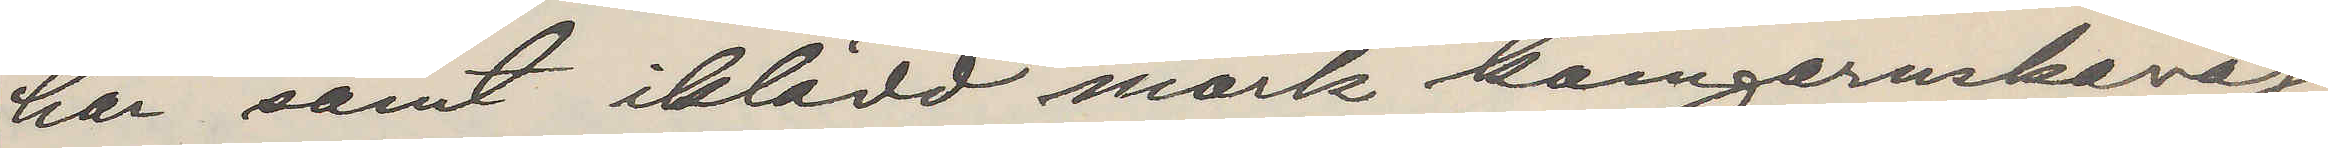har samt iklädd mörk kamgarnskavaj,
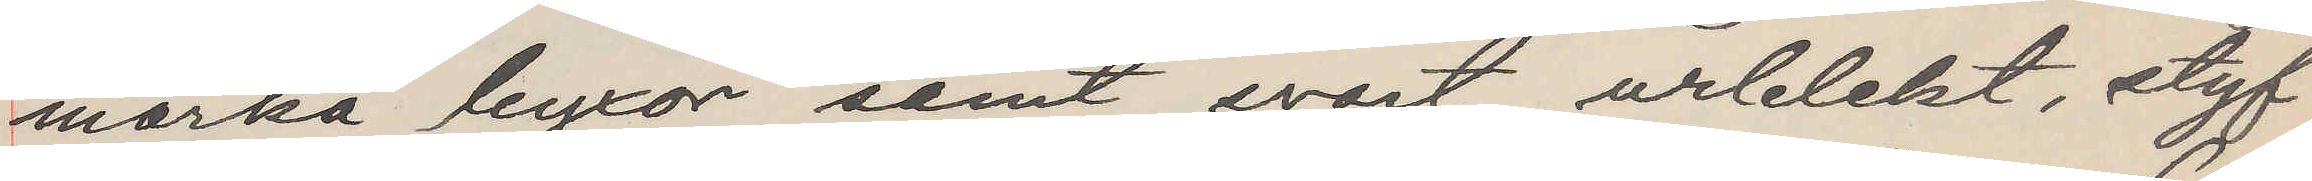mörka byxor samt svart urblekt, styf
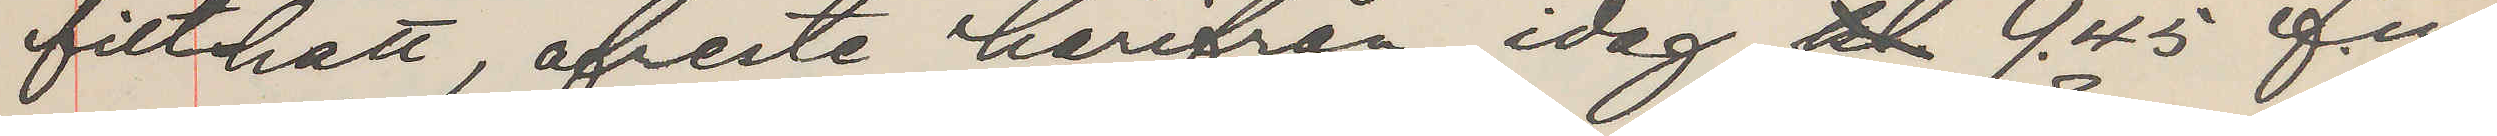filthatt, afreste härifrån idag kl 9.45 f.m.
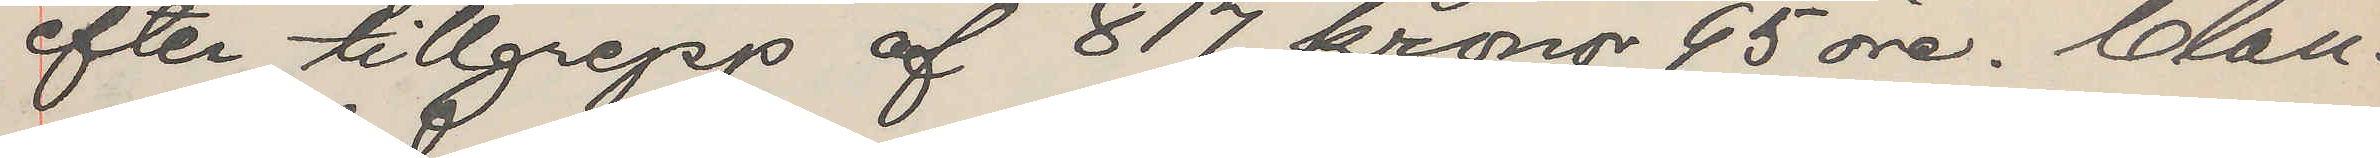efter tillgrepp af 817 kronor 95 öre. Clau¬
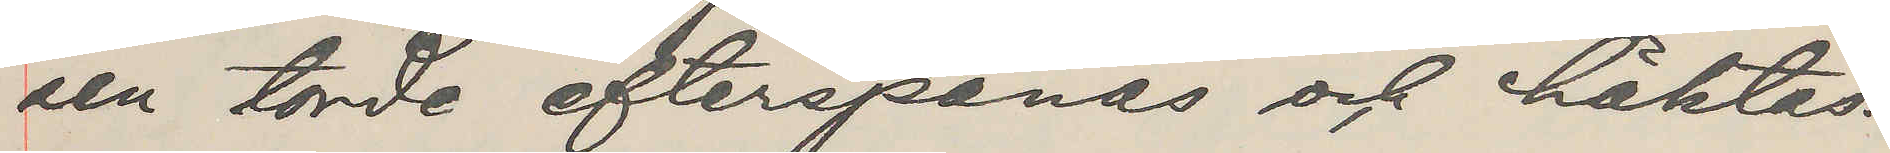sen torde efterspanas och häktas.
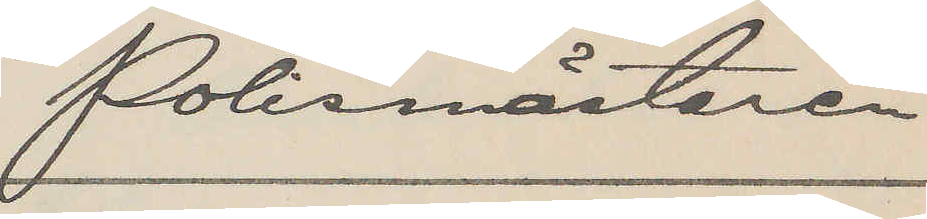Polismästaren
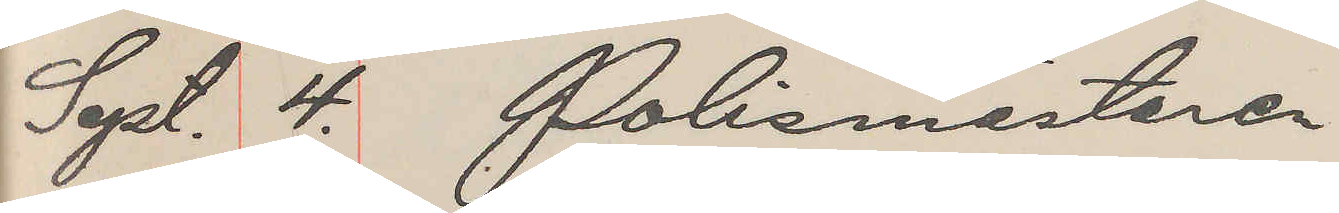Sept. 4. Polismästaren
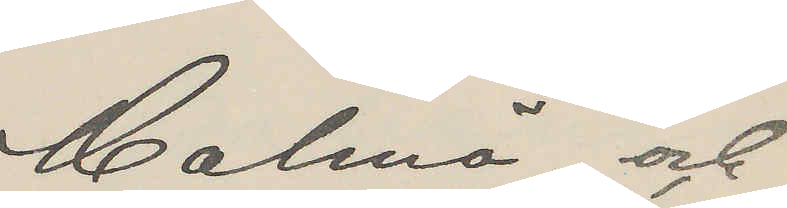Malmö och
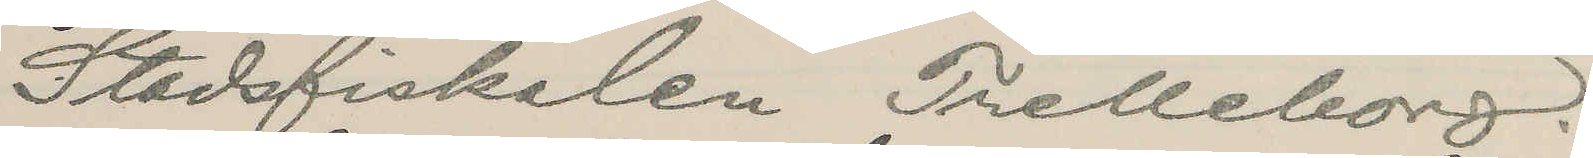Stadsfiskalen Trelleborg.
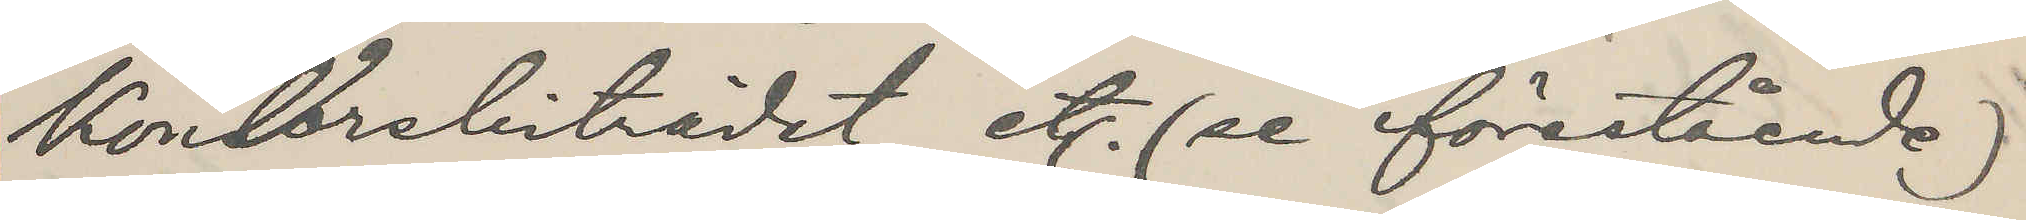Kontorsbiträdet etc. (se förestående)
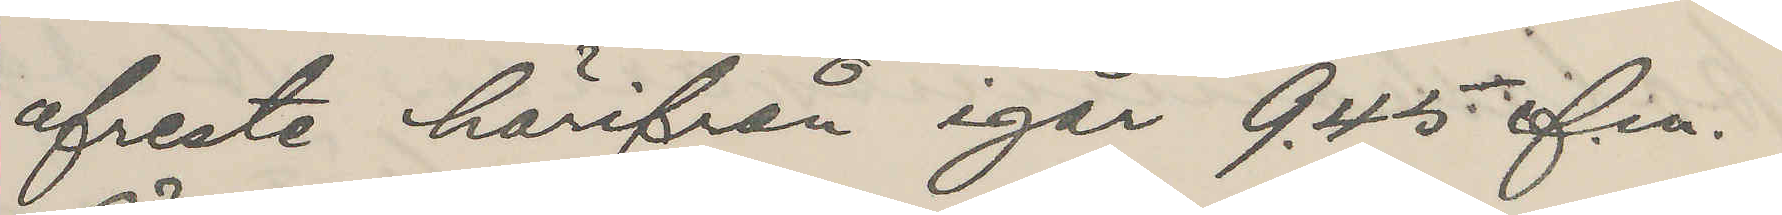afreste härifrån igår 9.45 f.m.
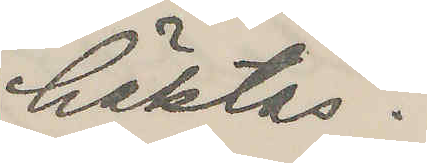häktas.
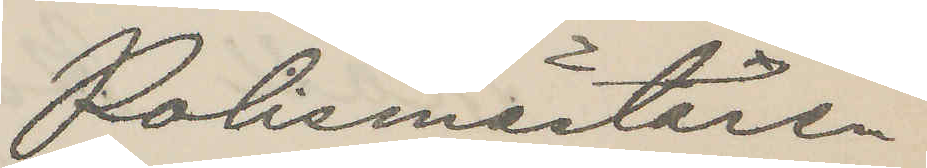Polismästaren
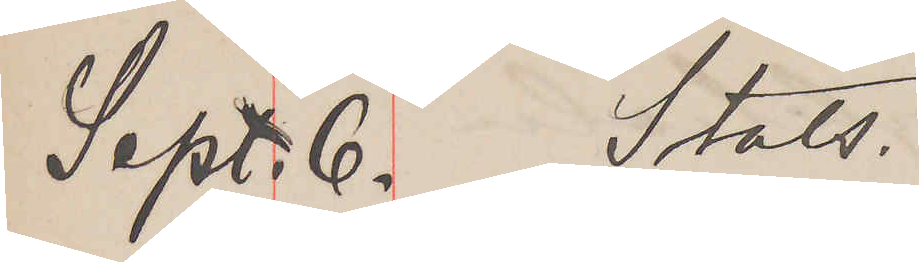Sept. 6. Stats.
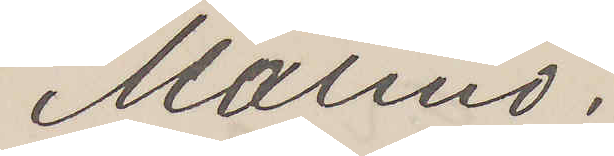Malmö.
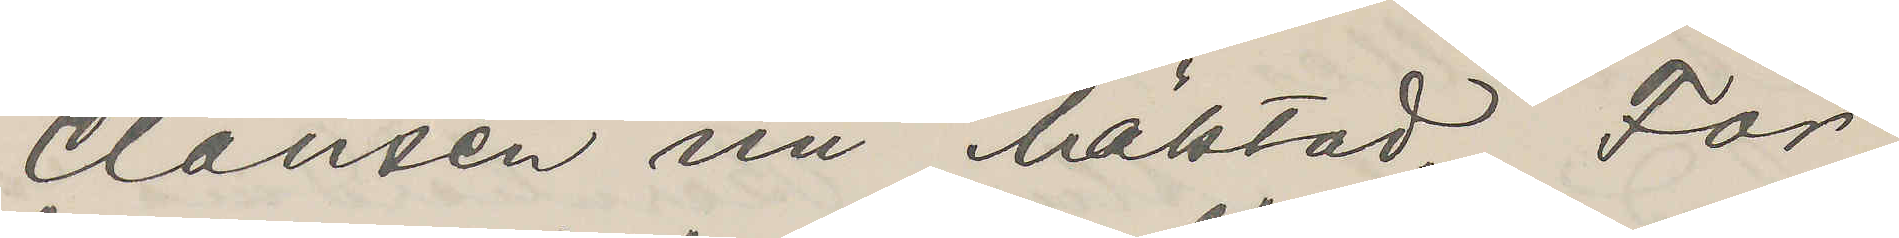Clausen nu häktad. För¬
